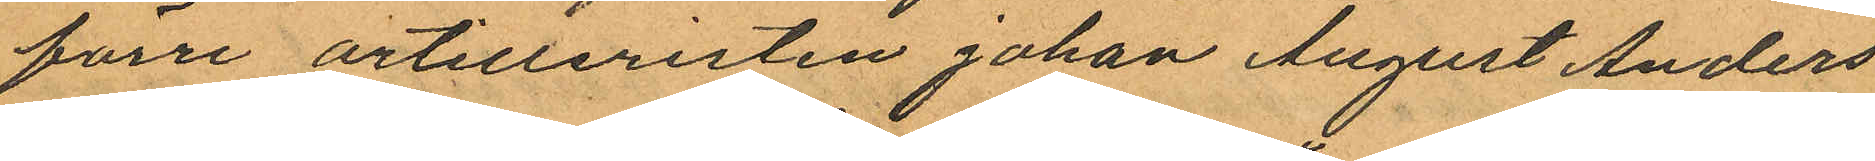förre artilleristen Johan August Anders
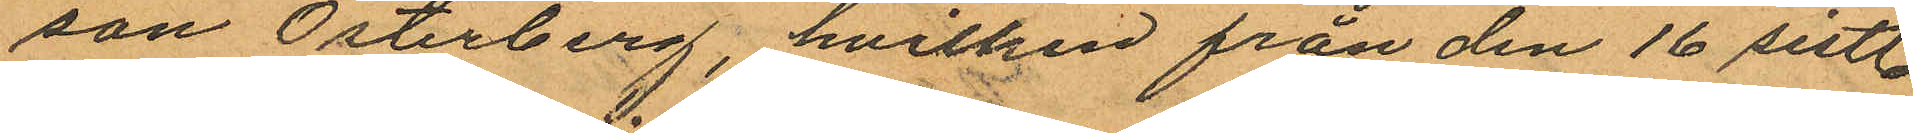son Österberg, hvilken från den 16 sistl.
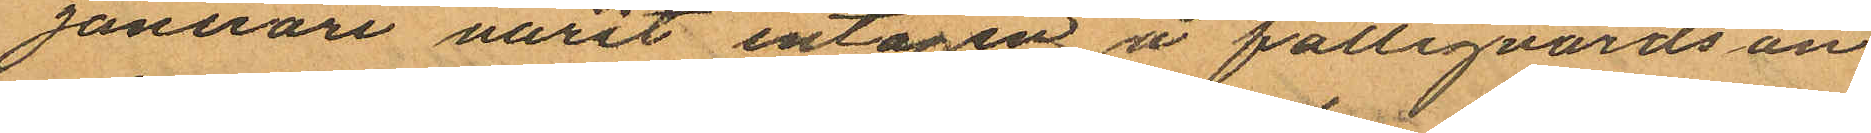Januari varit intagen å fattigvårdsan¬
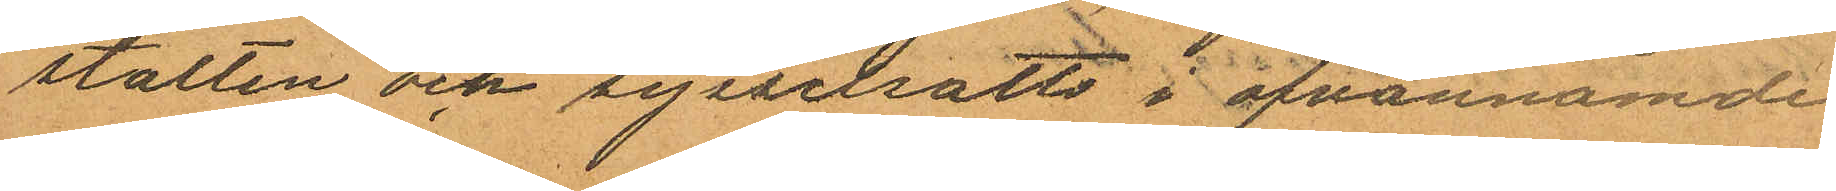stalten och sysselsatts i ofvannämde
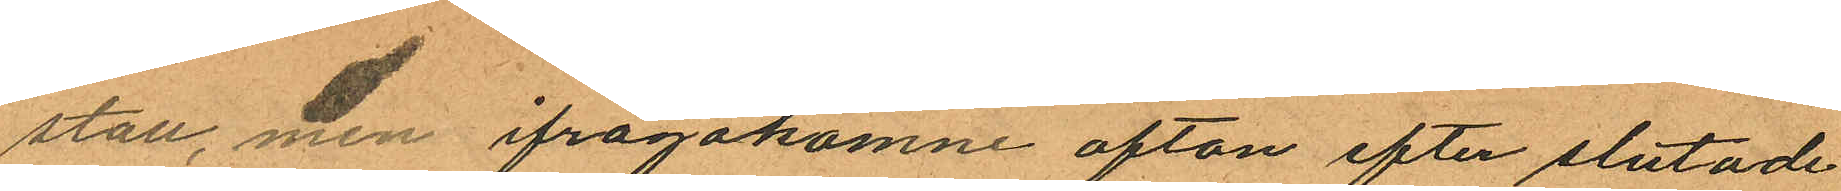stall, men ifrågakomne afton efter slutade
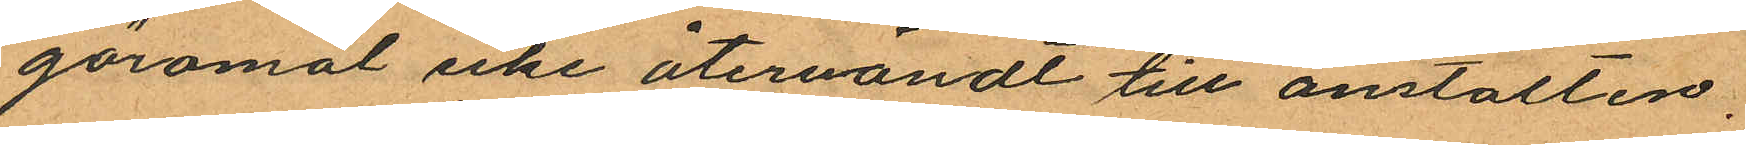göromål icke återvändt till anstalten,
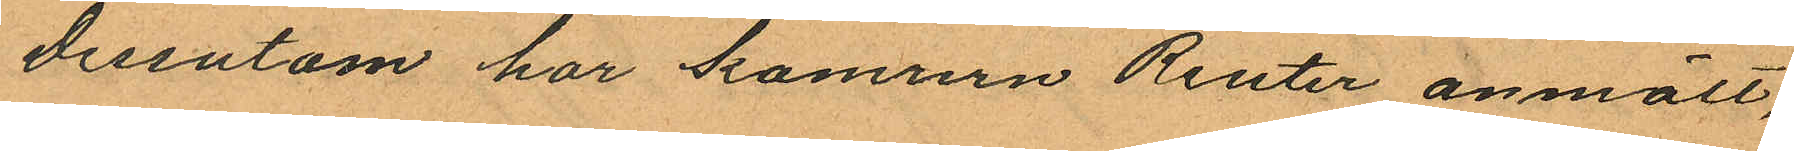dessutom har kamrern Reuter anmält,
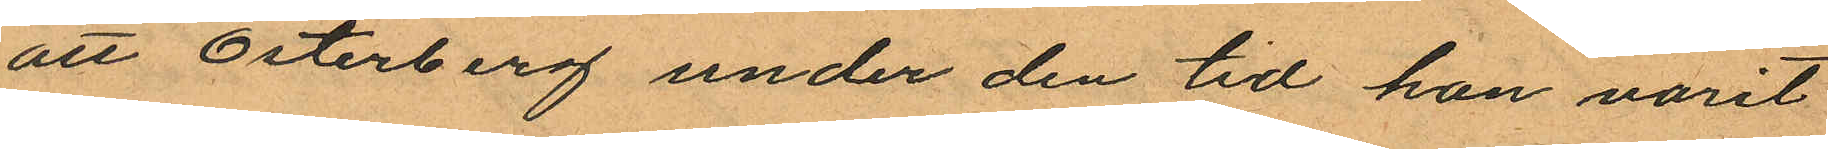att Österberg under den tid han varit
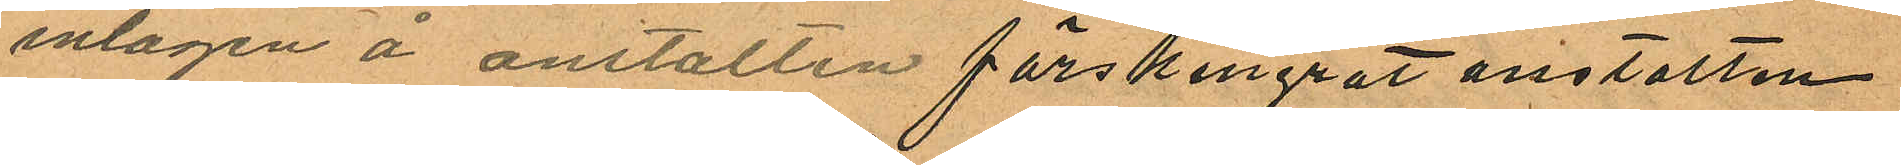intagen å anstalten förskingrat anstalten
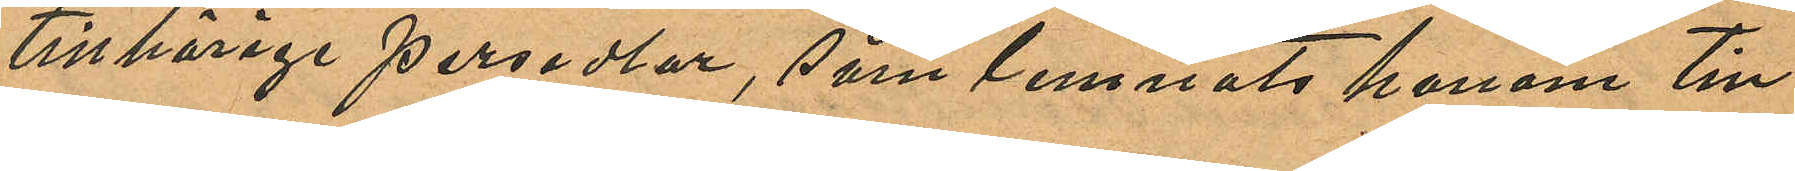tillhörige persedlar, som lemnats honom till
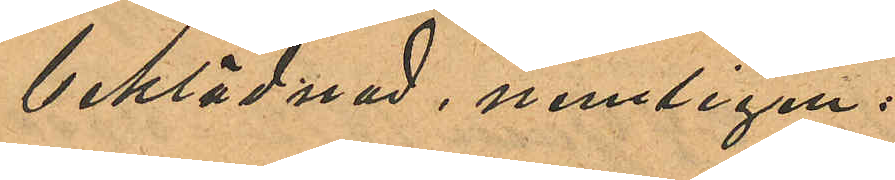beklädnad, nemligen:
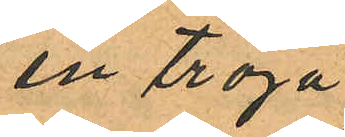en tröja
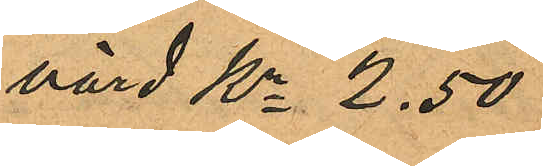värd Kr 2.50
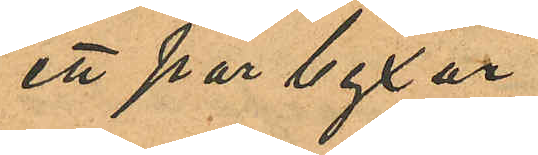ett par byxor
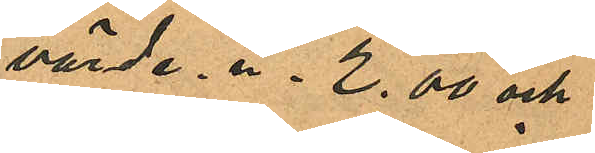värde -"- 2.00 och
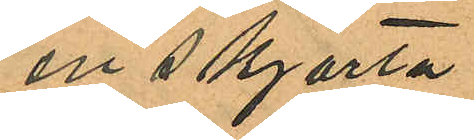en skjorta
